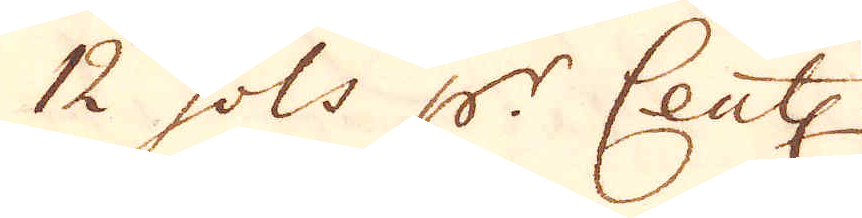12 sols p:r Cent:.
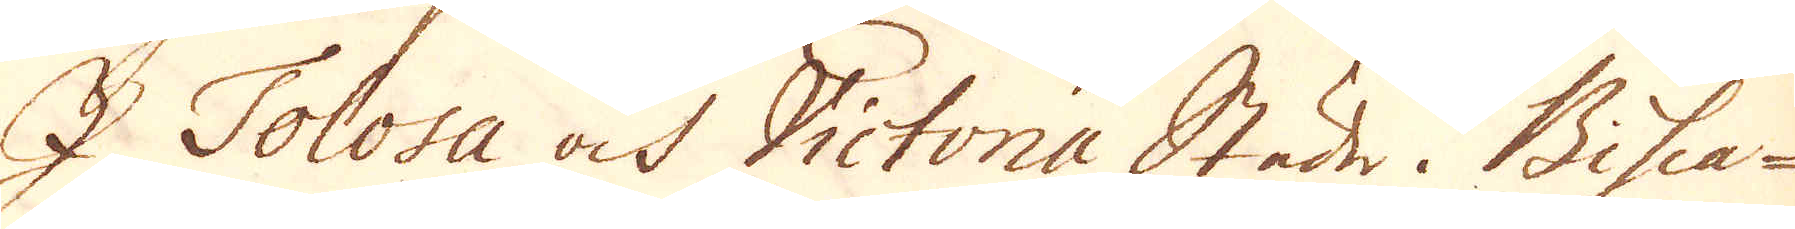I Tolosa och Victonia Städer i Bisca-
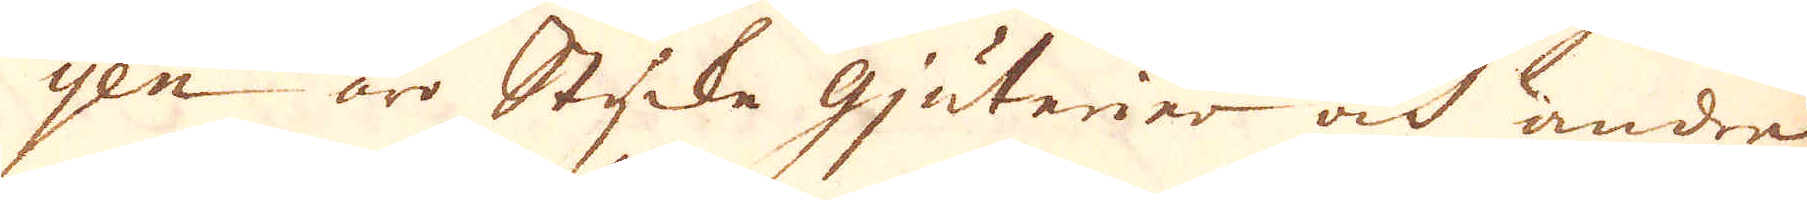yen äro Stycke gjuterier och andre
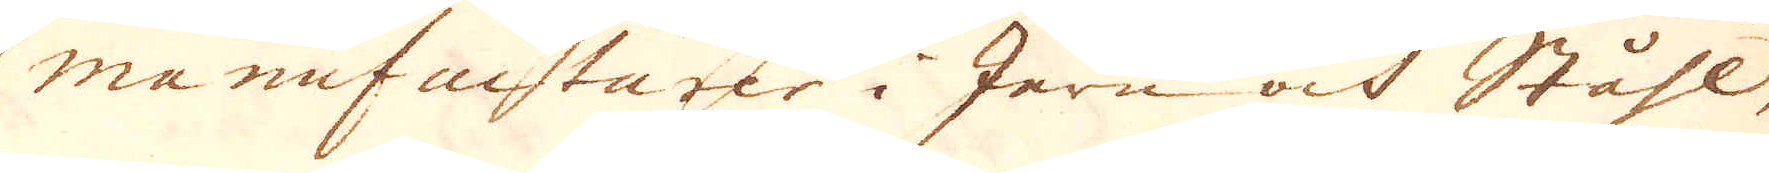manufacturer i Jern och Ståhl-
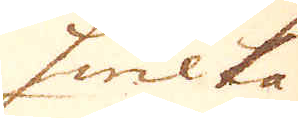hwilka
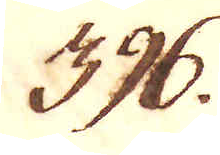396.
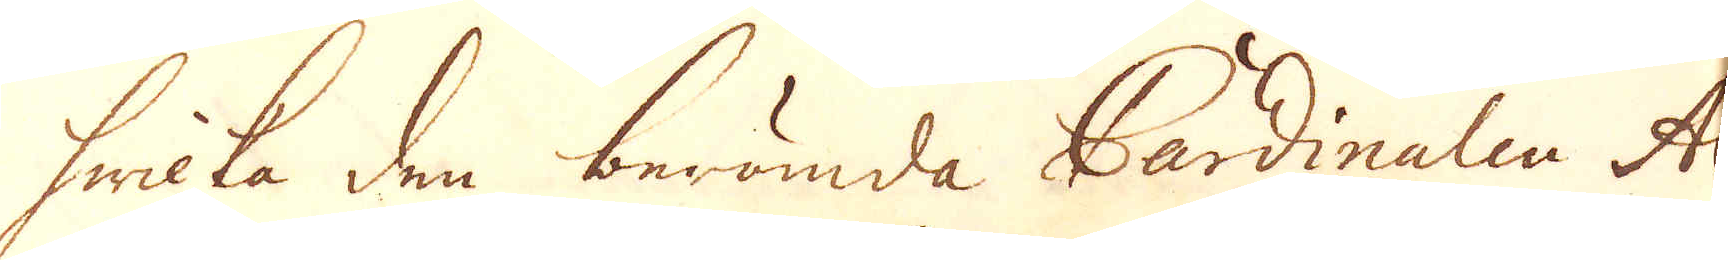hwilka den berömda Cardinalen Al-
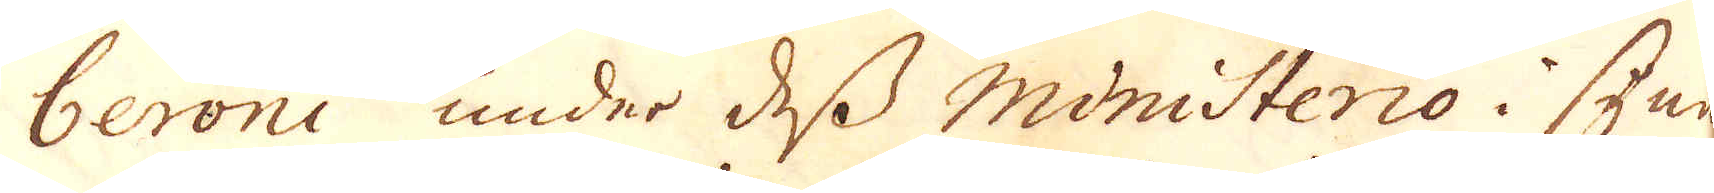beroni under dess Ministerio i syner-
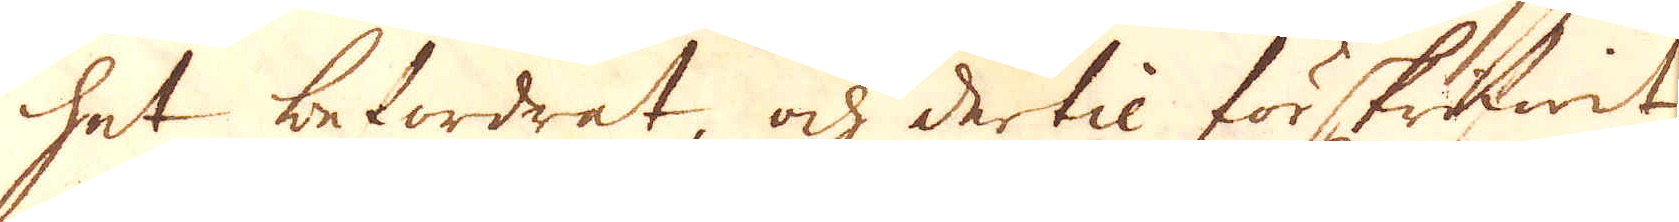het befordrat, och dertil förskriwit
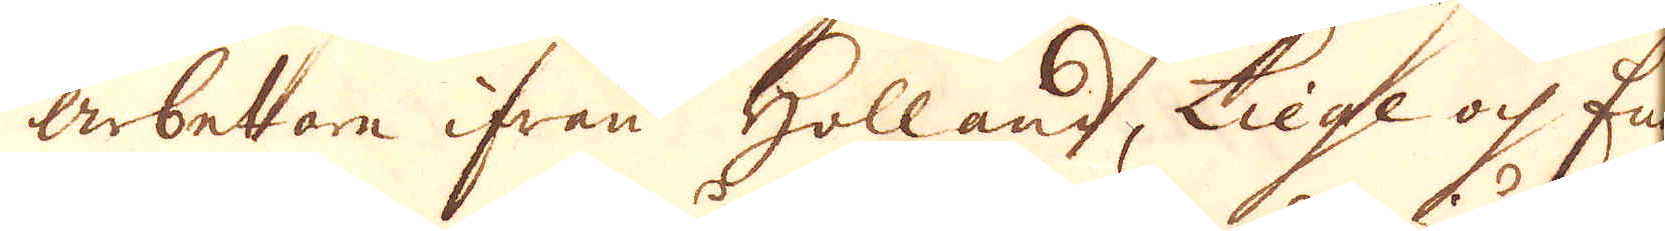arbetare ifrån Holland, Liege och Eng-
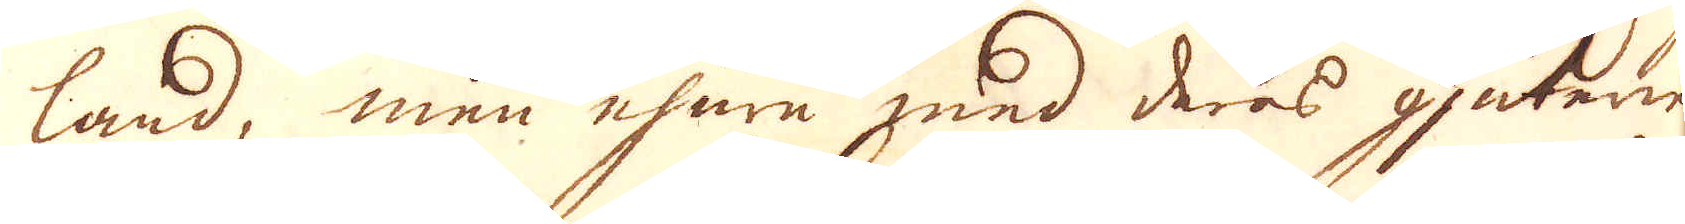land, men ehuru med deras gjuterier
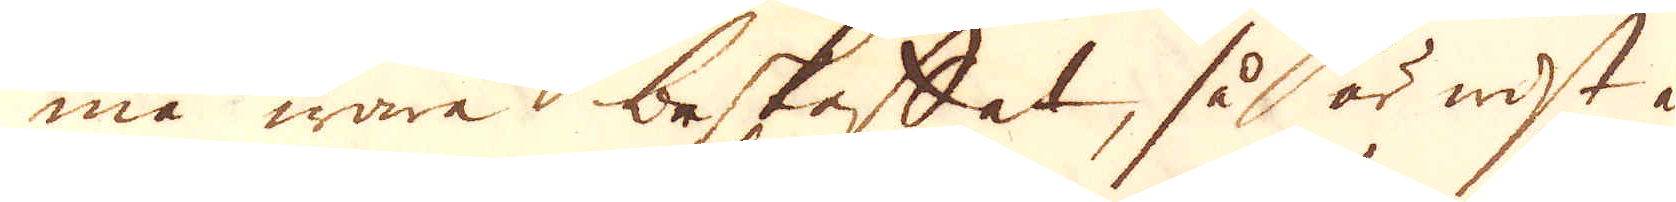må wara beskaffat, så är wist at
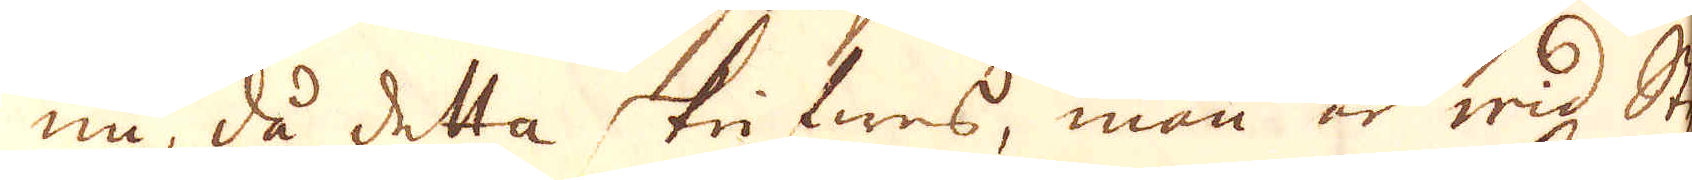nu, då detta trifwes, man är wid Sty-
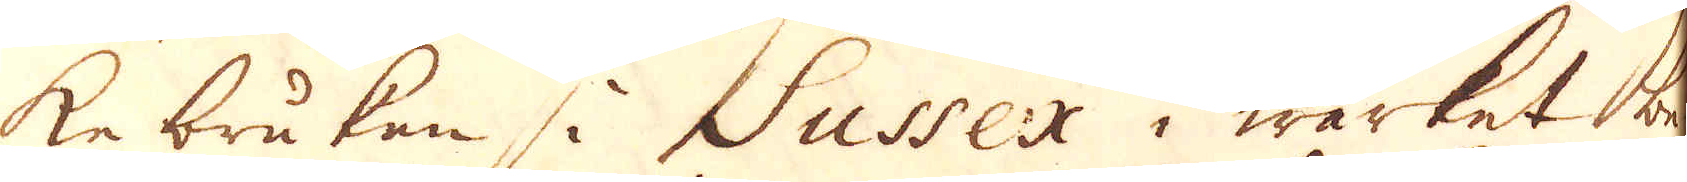ke bruken i Sussex i wärket be-
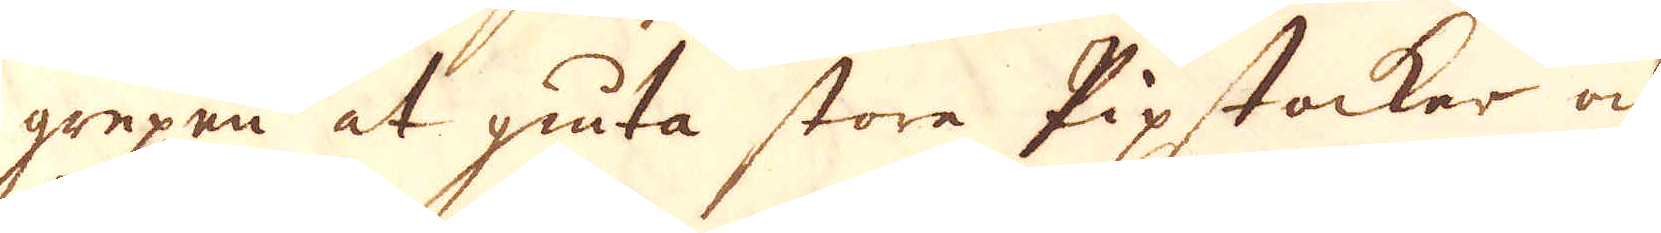grepen at giuta stora Pipstocker och
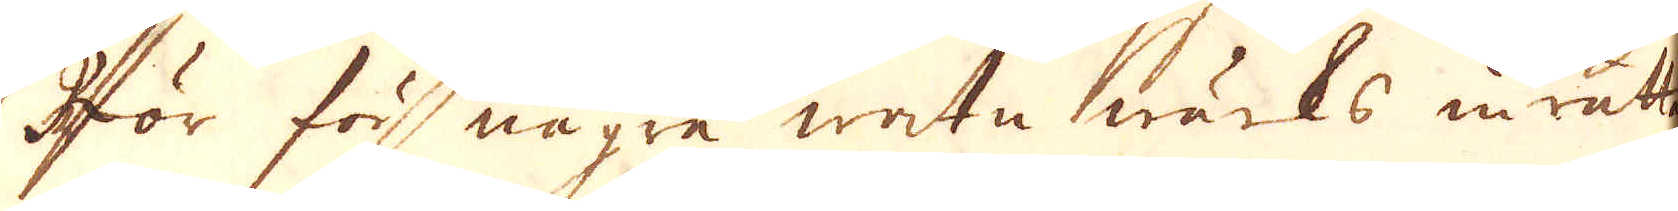för för några watn wärks inrättan-
